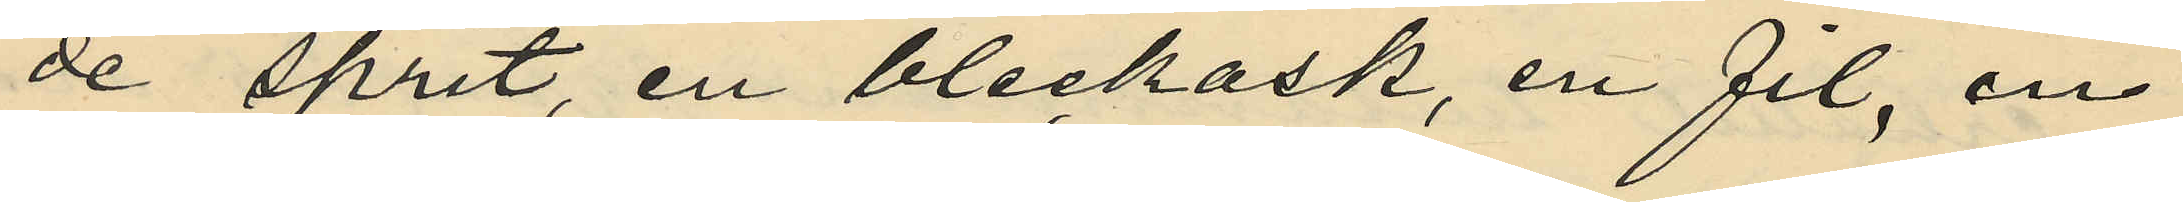de sprit, en bleckask, en fil, en
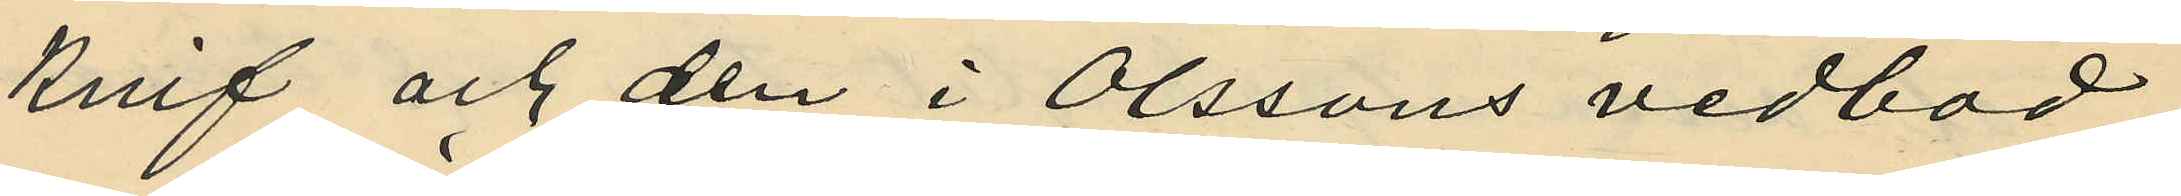knif och den i Olssons vedbod
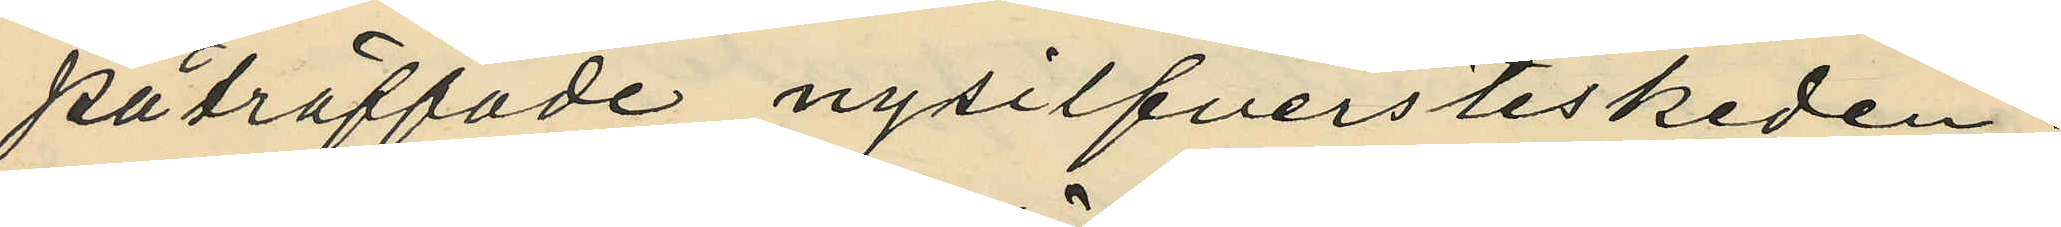påträffade nysilfversteskeden;
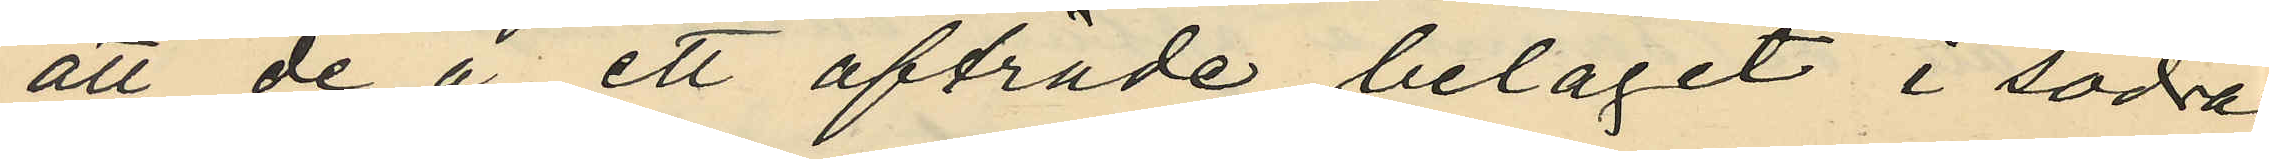att de å ett afträde, beläget i södra
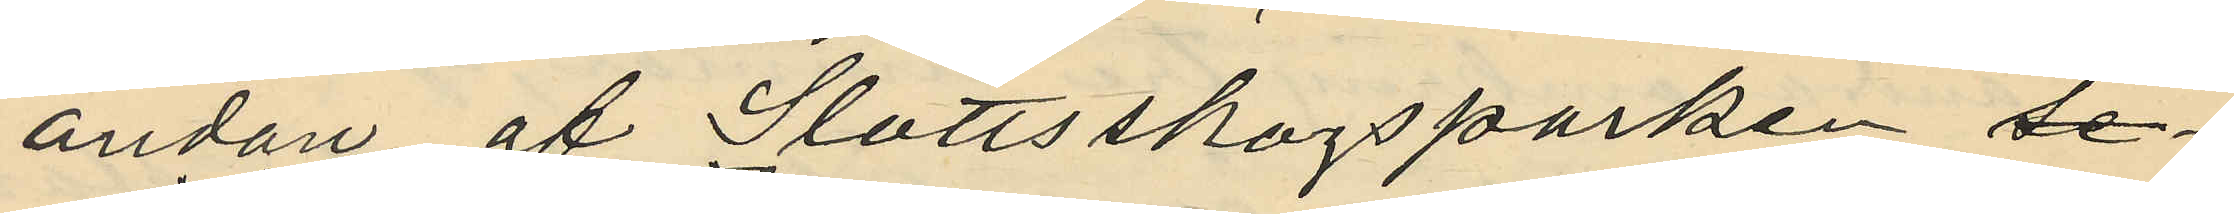ändan af Slottsskogsparken,
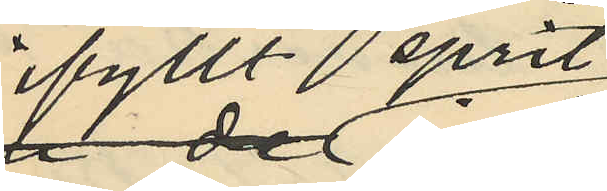ifyllt sprit
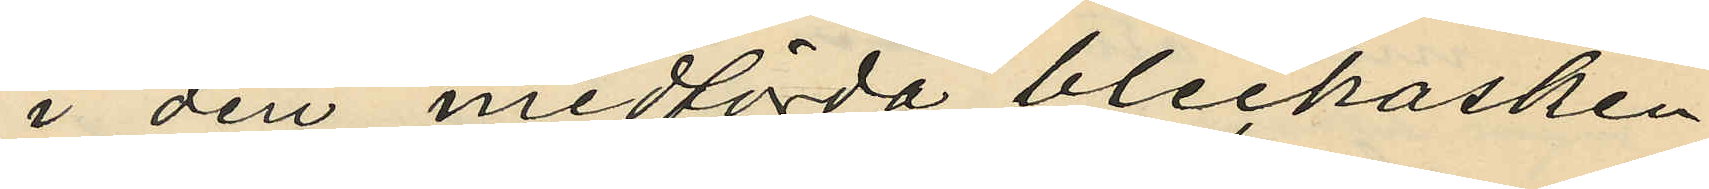i den medförda bleckasken
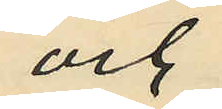och
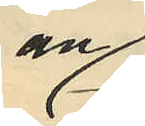an¬
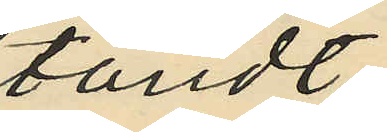tändt
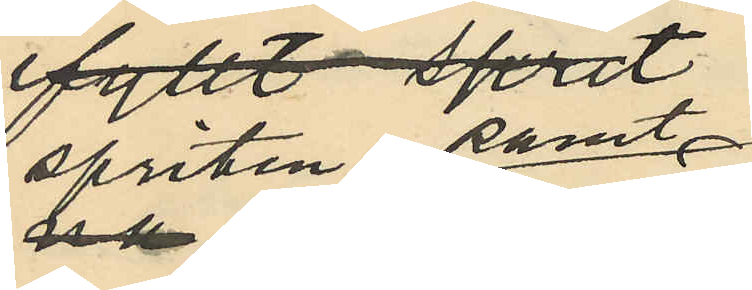spriten samt
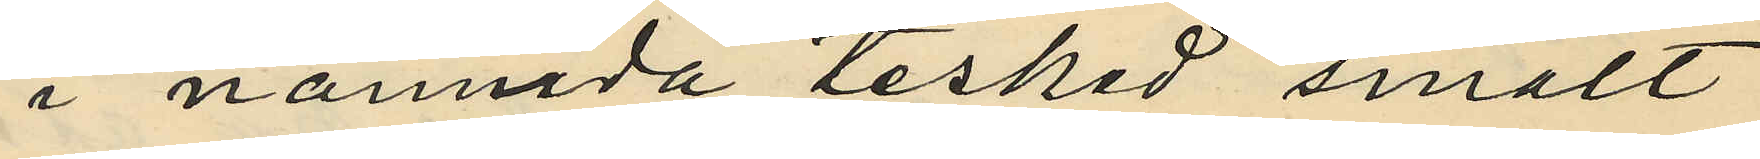i nämnda tesked smält
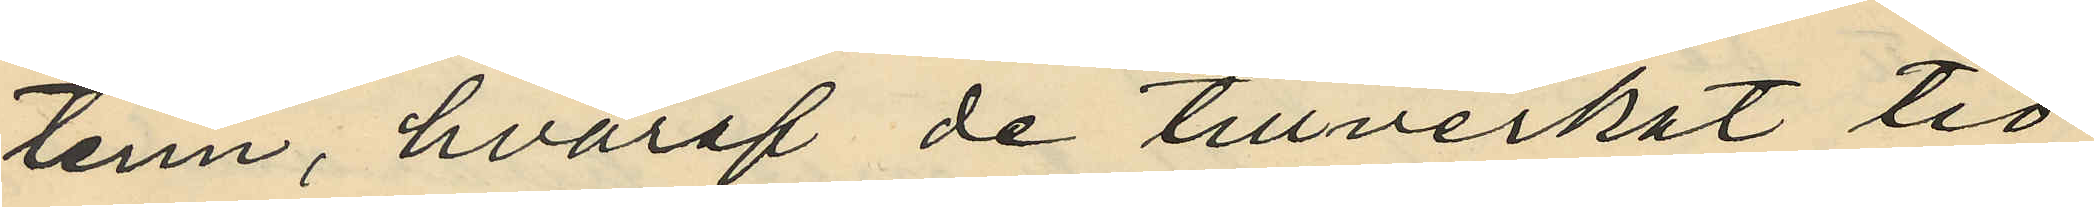tenn, hvaraf de tillverkat tio
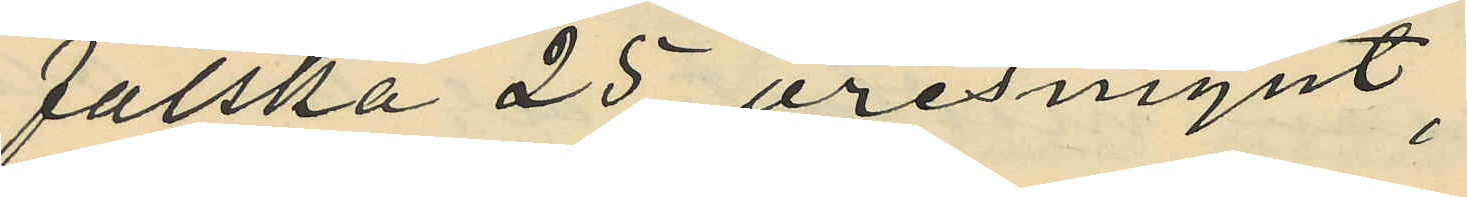falska 25 öresmynt;
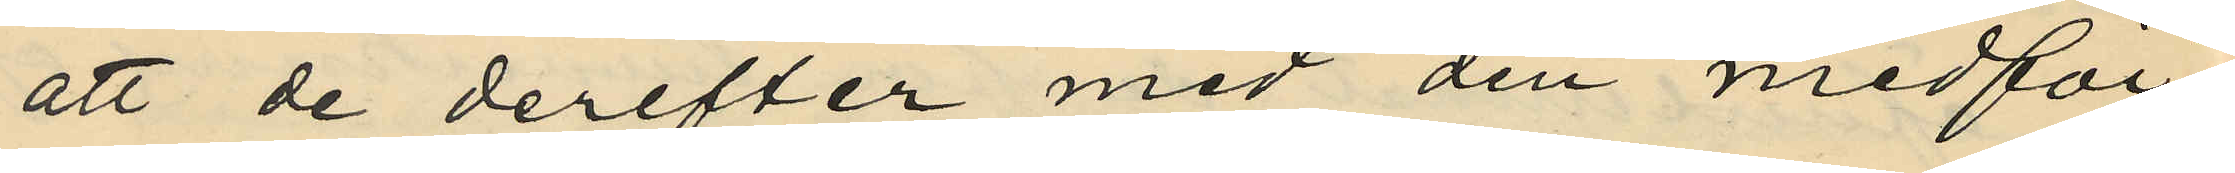att de derefter med den medför¬
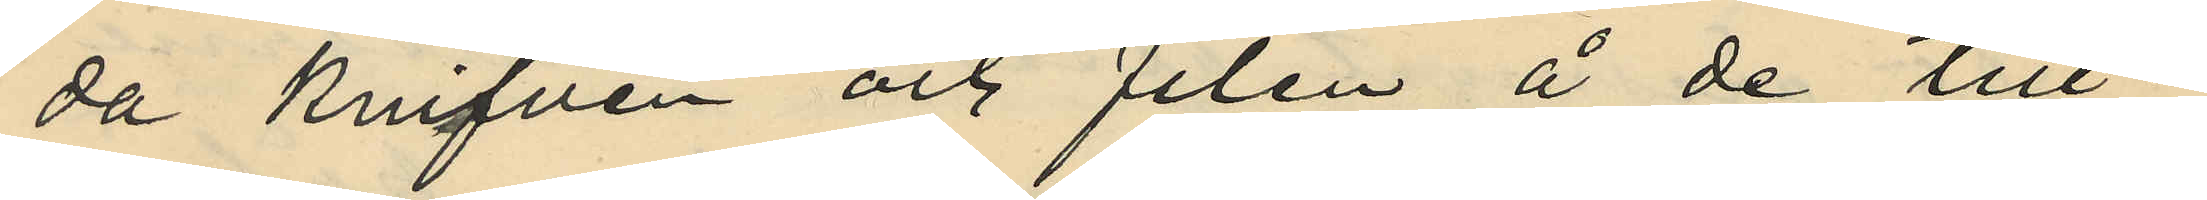da knifven och filen å de till¬
